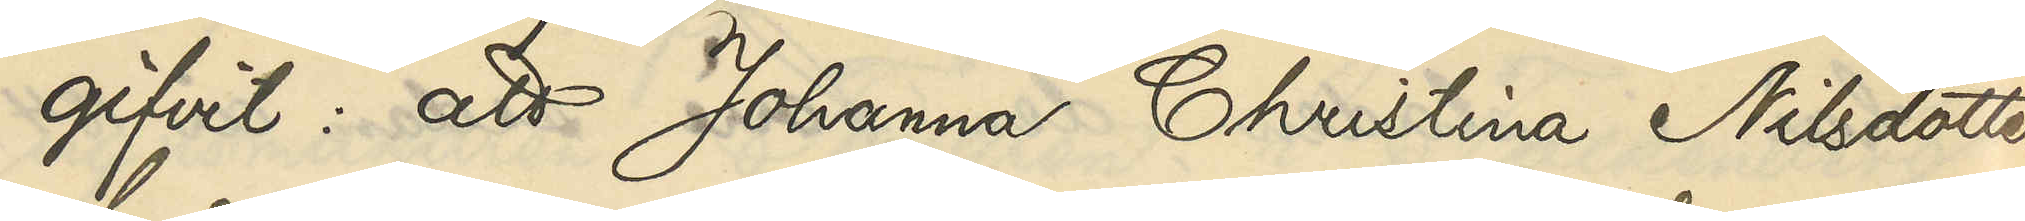gifvit: att Johanna Christina Nilsdotter
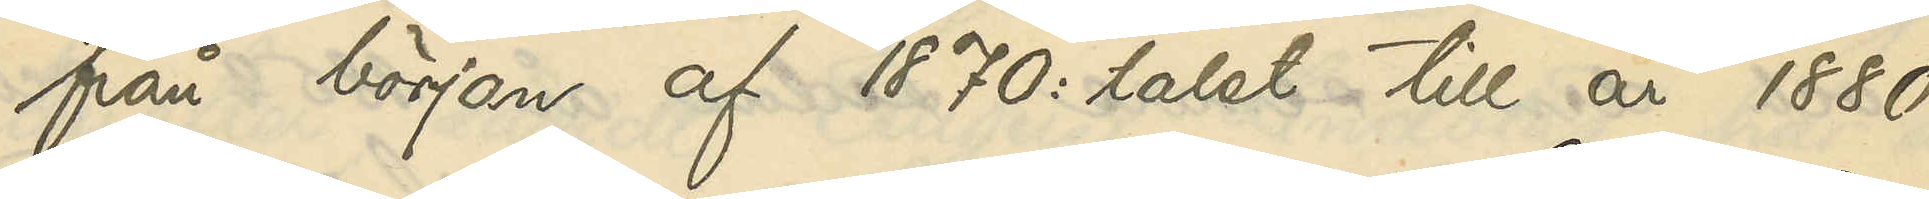från början af 1870:talet till år 1880
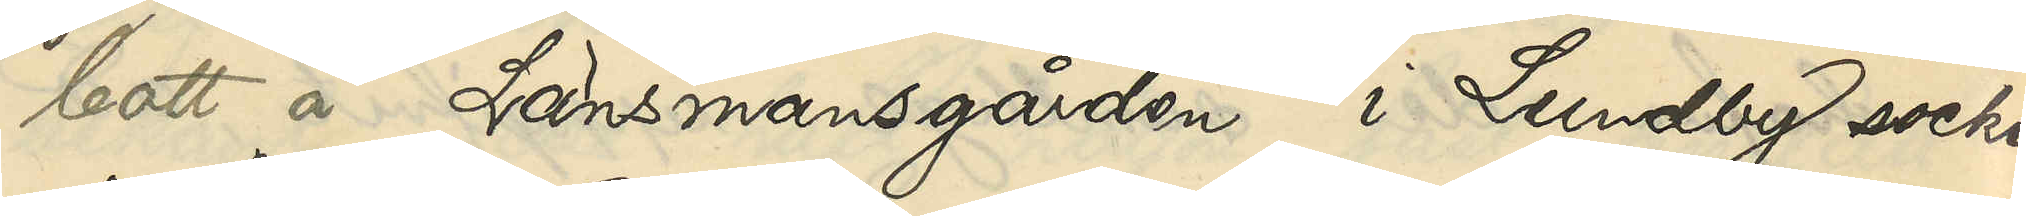bott å Länsmansgården i Lundby socken
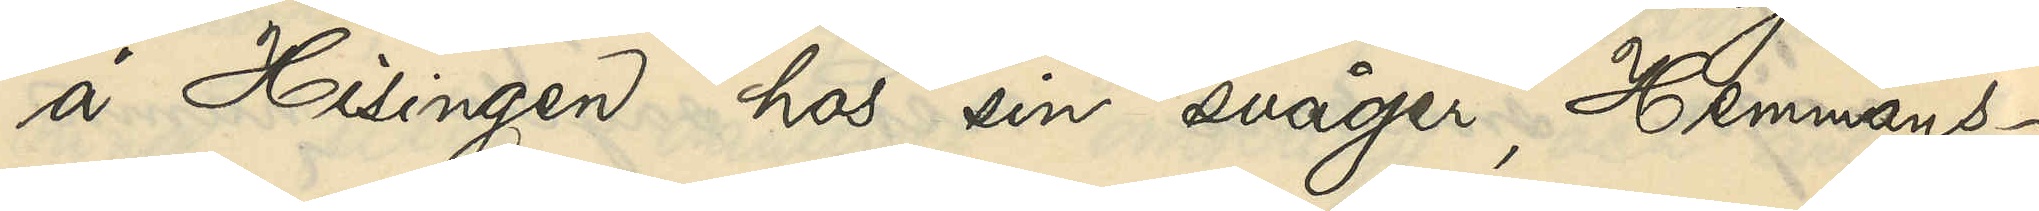å Hisingen hos sin svåger, Hemmans¬
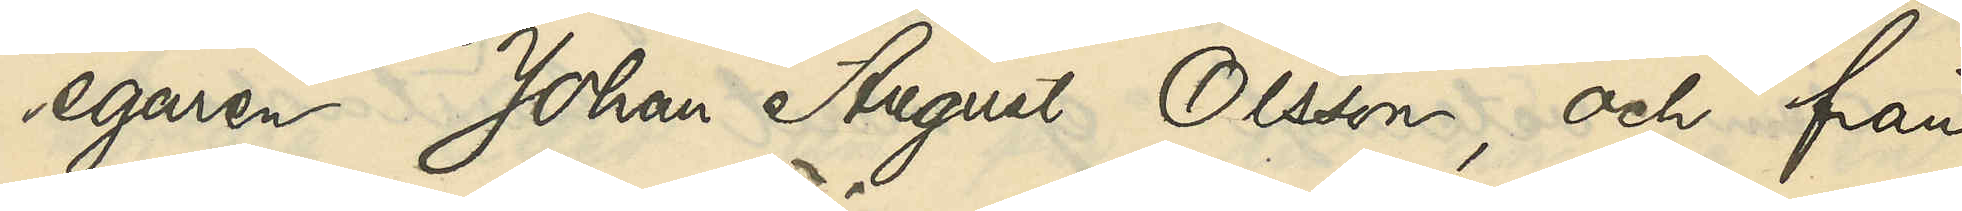egaren Johan August Olsson, och från
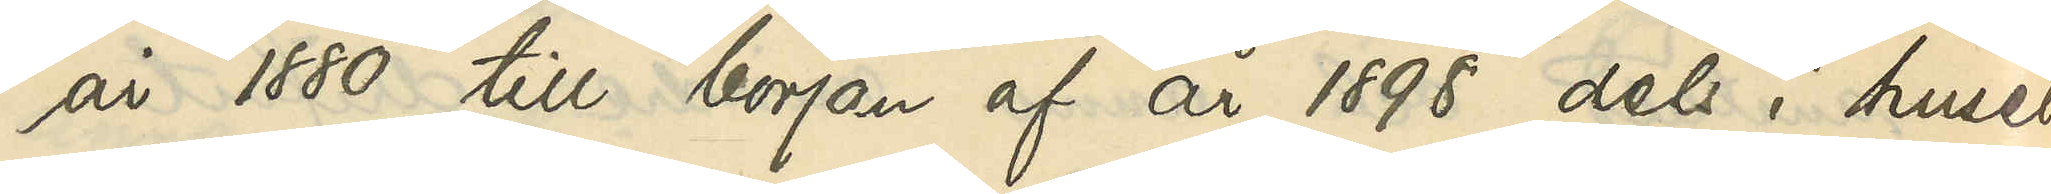år 1880 till början af år 1898 dels i huset
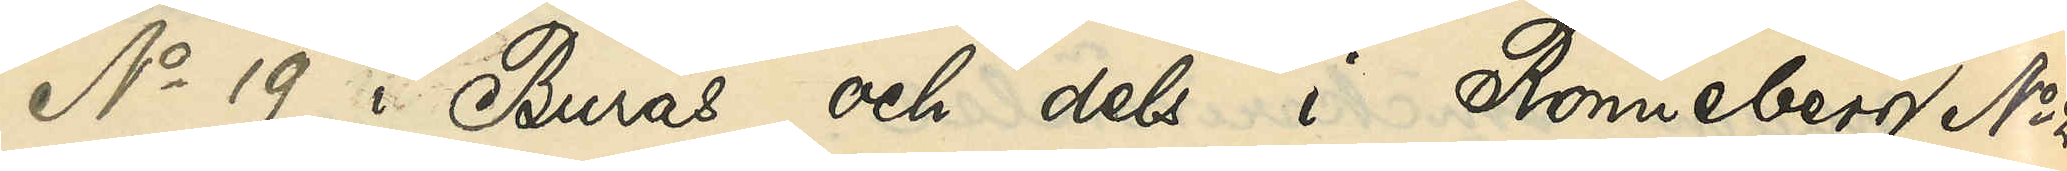No 19 i Burås och dels i Rönneberg No 2
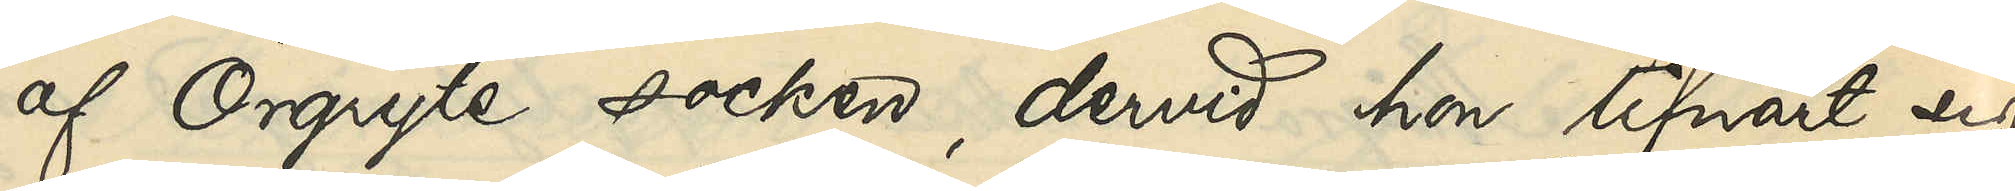af Örgryte socken, dervid hon lifnärt sig
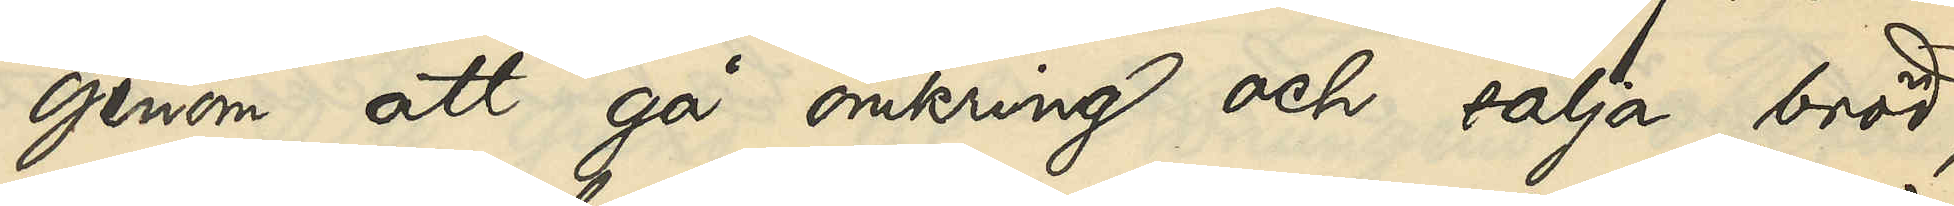genom att gå omkring och sälja bröd;
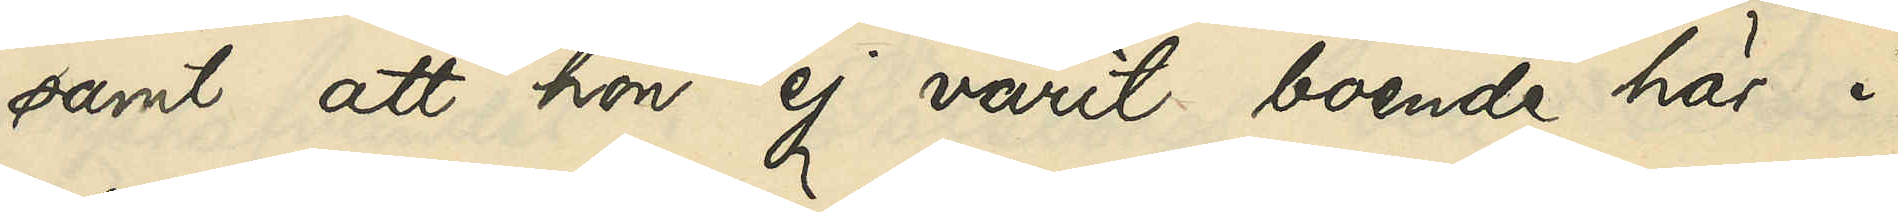samt att hon ej varit boende här i
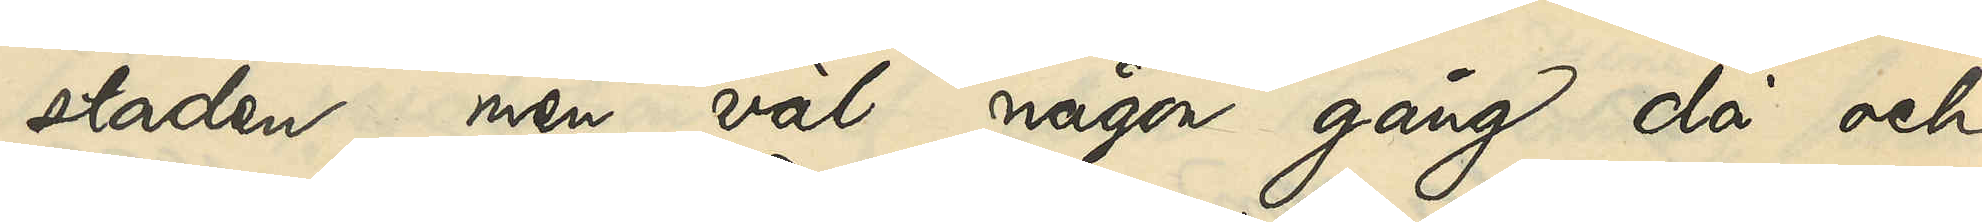staden, men väl någon gång då och
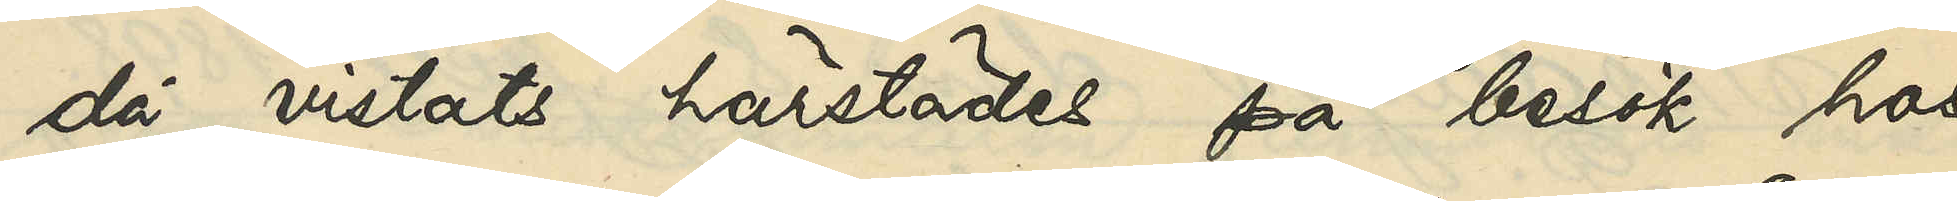då vistats härstädes på besök hos
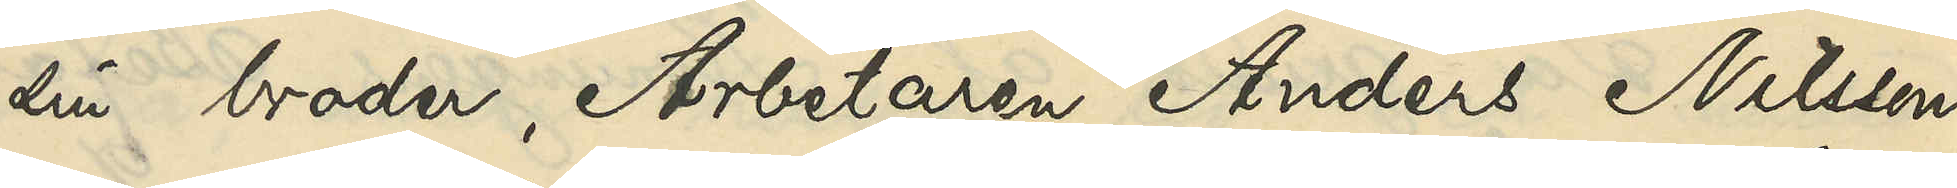sin broder, Arbetaren Anders Nilsson,
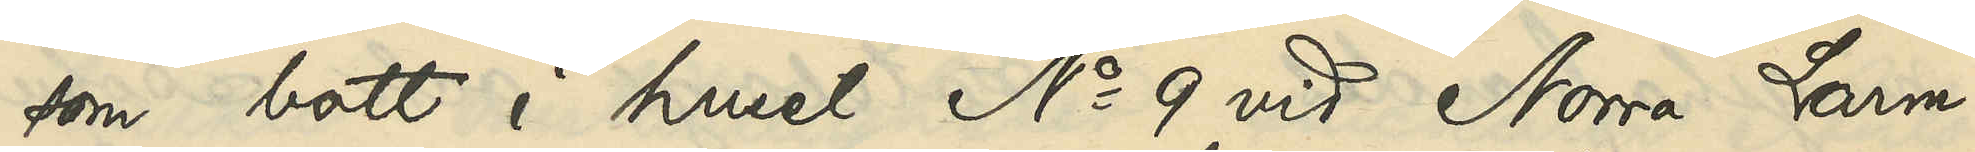som bott i huset No 9 vid Norra Larm¬
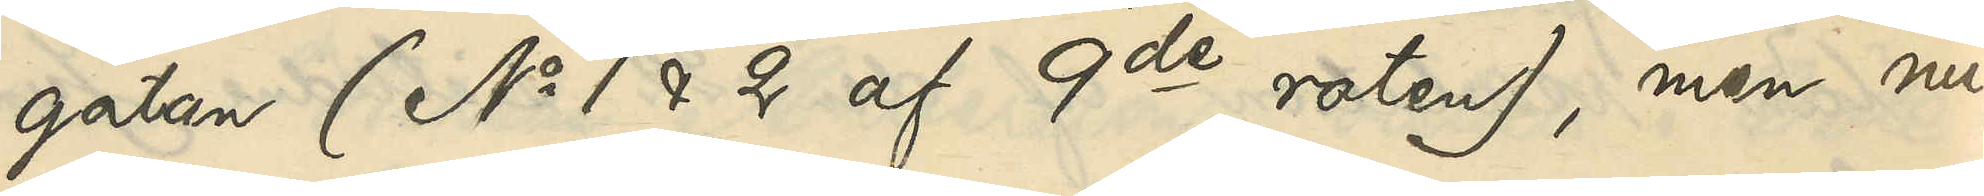gatan (No 1 & 2 af 9de roten), men nu¬
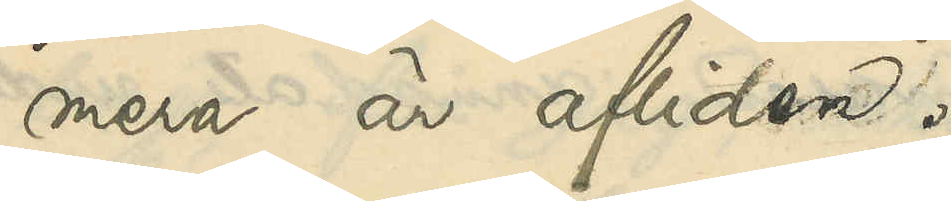mera är afliden.
